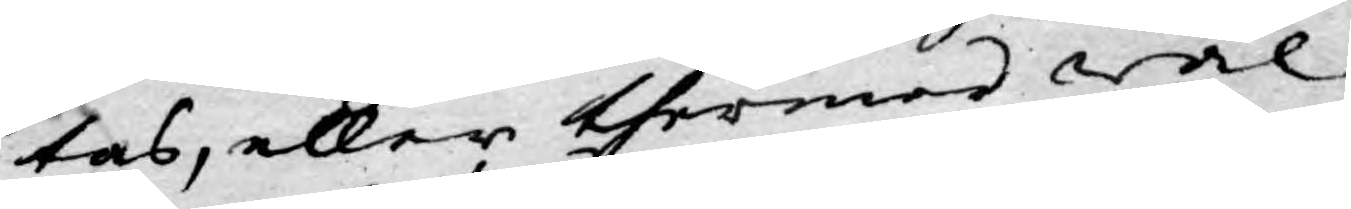tas, eller thermed wäl
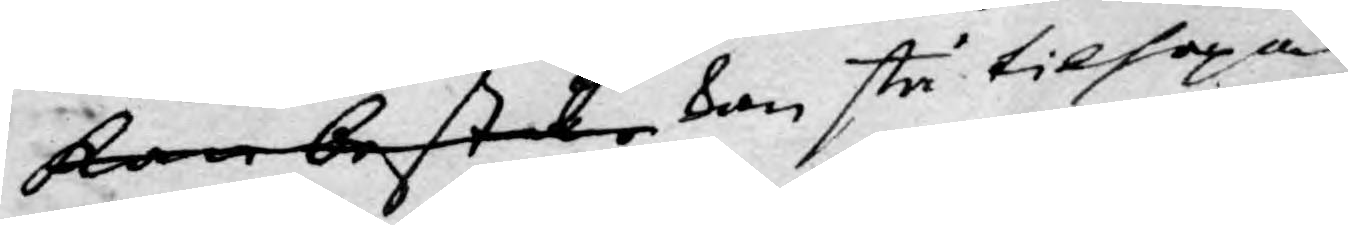kan bestå kan stå tilhopa.
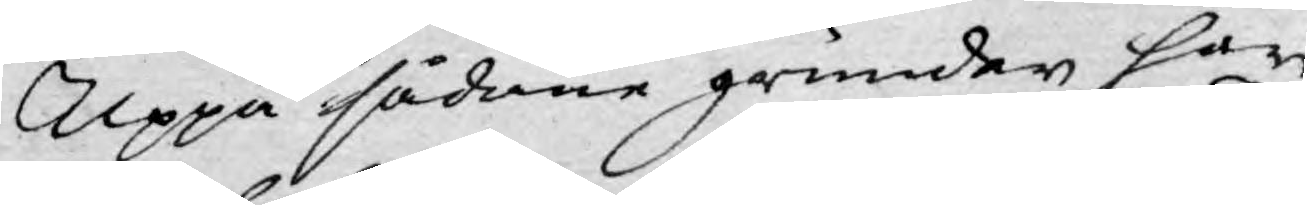Uppå sådane grunder har
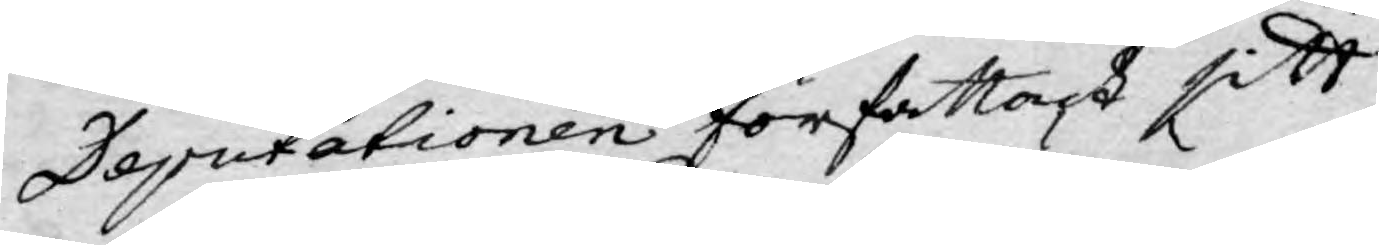Deputationen författat sitt
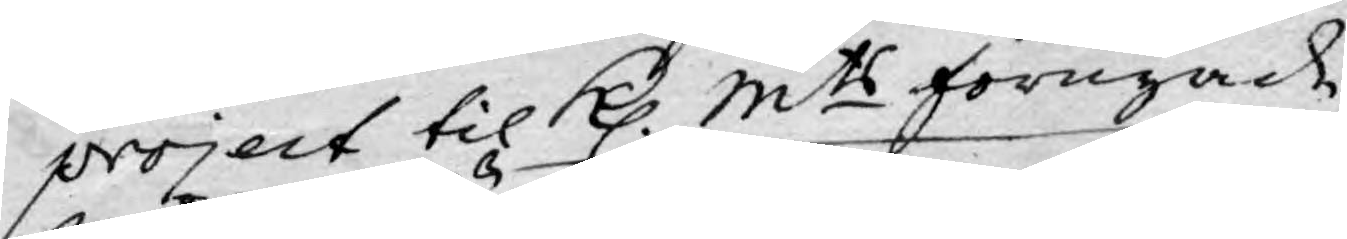project til Kl. Mts förnyade
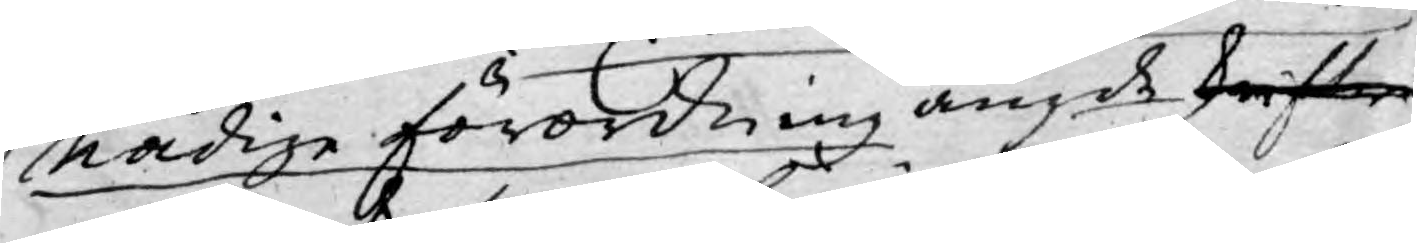Nådige förordning angde skrifter
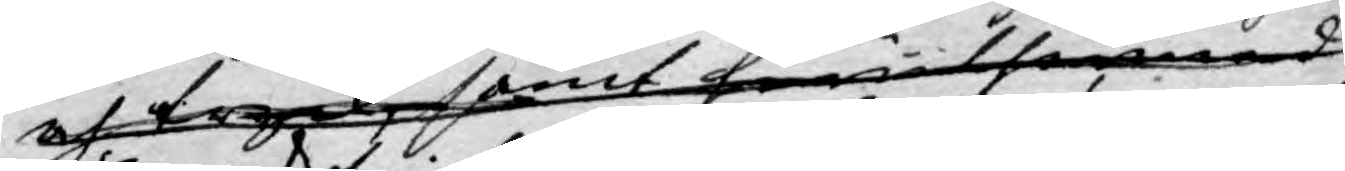och tryck samt huru förmed
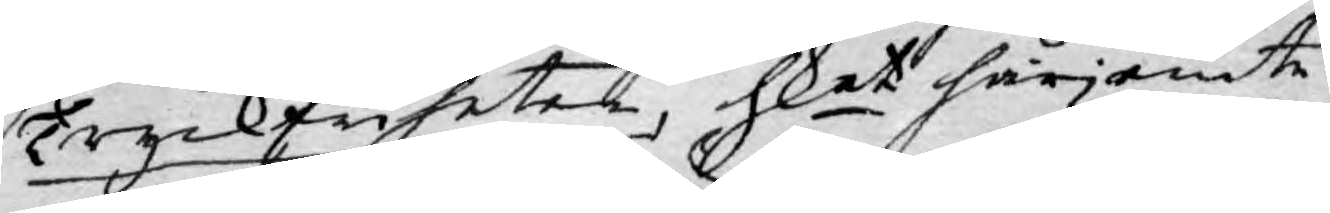Tryckfriheten, hket härjemte
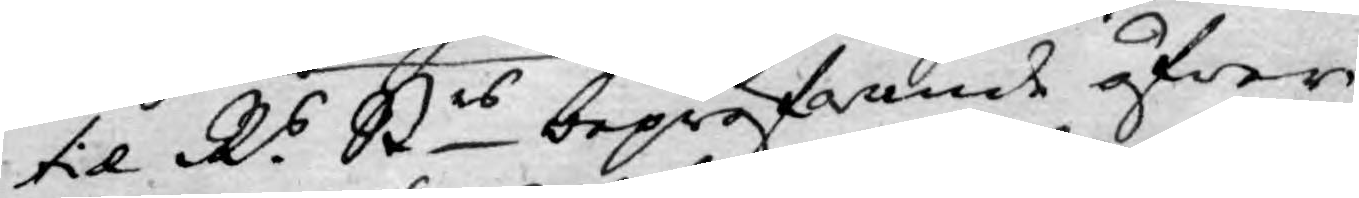til R.s Strs bepröfwande öfwer¬
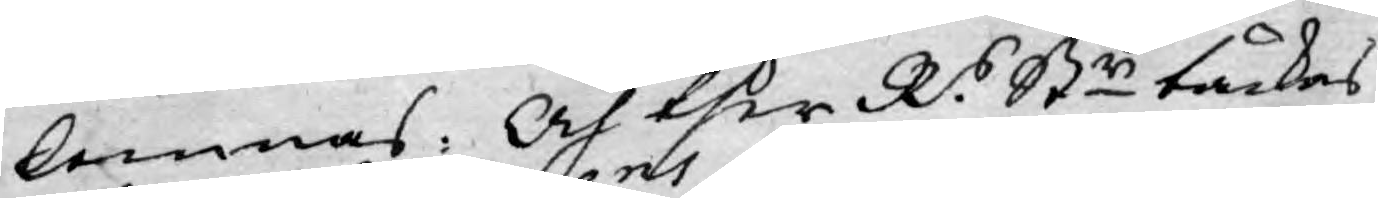lemnas: Och ther R.s Str täckes
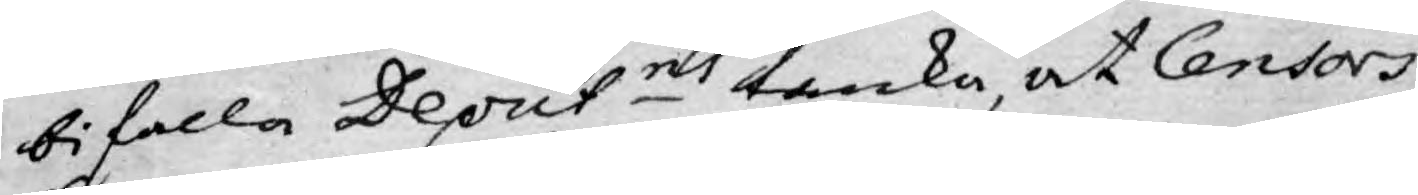bifalla Deputns tanka, at Censors
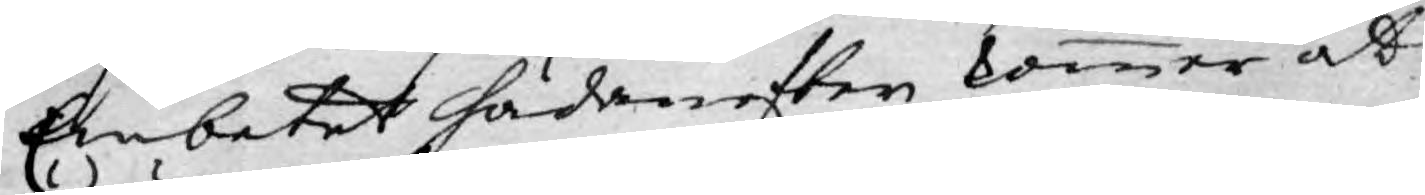Embetet hädanefter kommer at
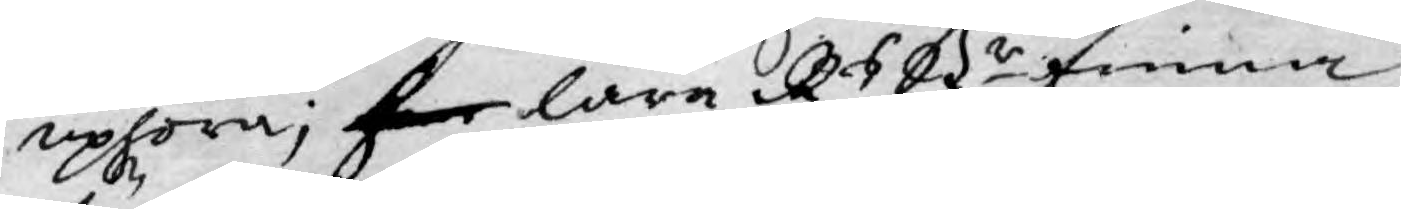uphöra; hr lara Rs Str finna
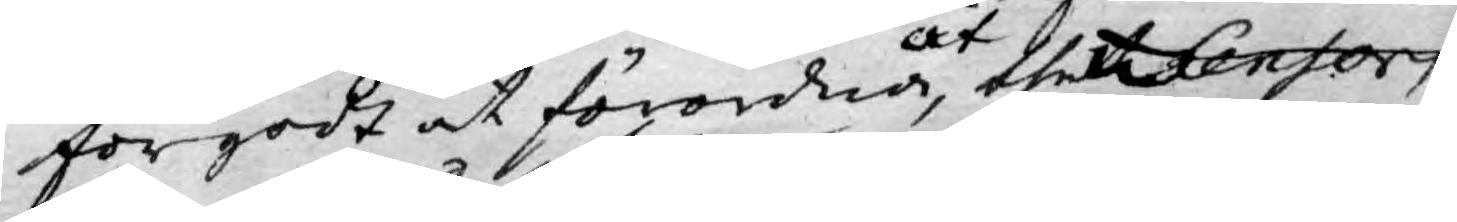förgodt at förordna, at thet Censor
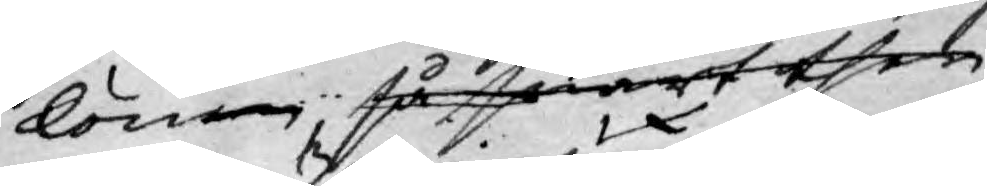lönen, så snart ther
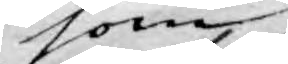som
